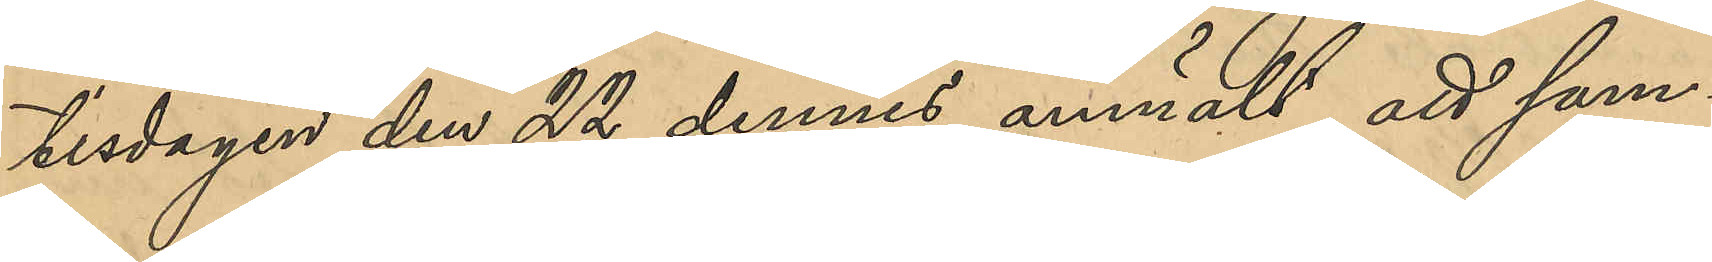tisdagen den 22 dennes anmält, att sam¬
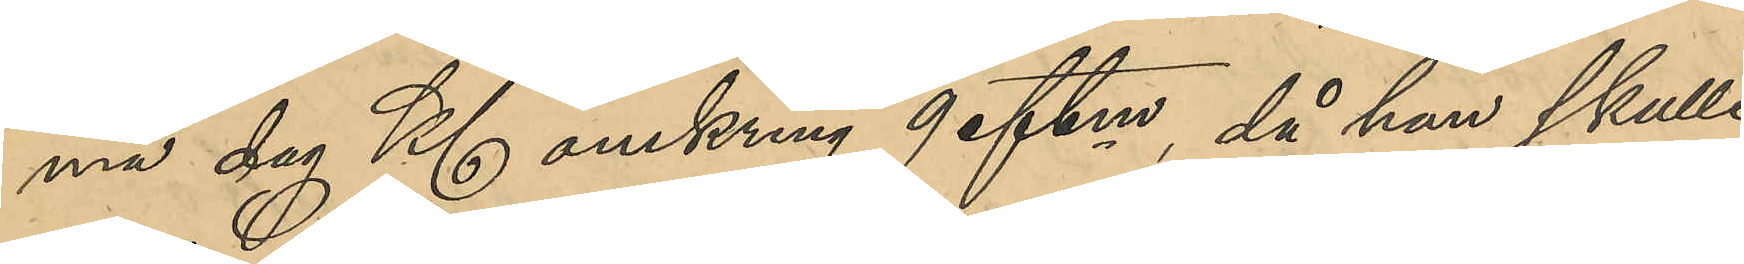ma dag Kl omkring 9 eftm, då han skulle
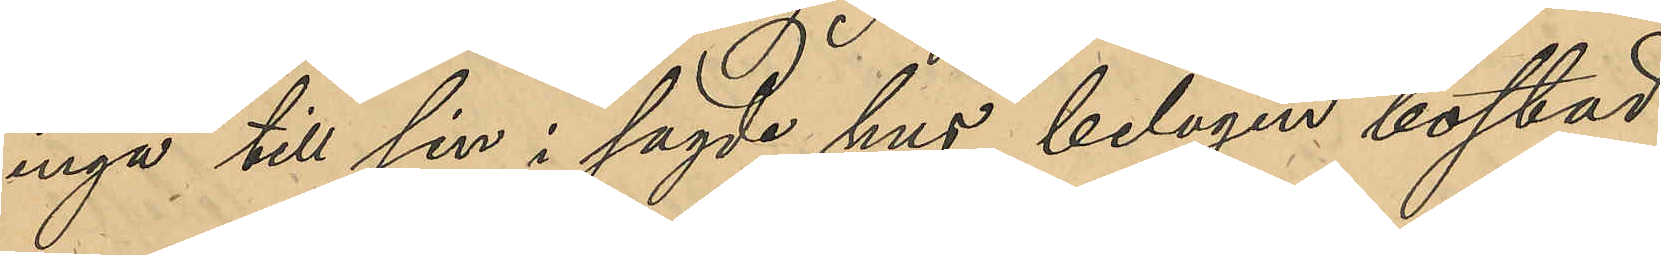ingå till sin i sagde hus belägen bostad,
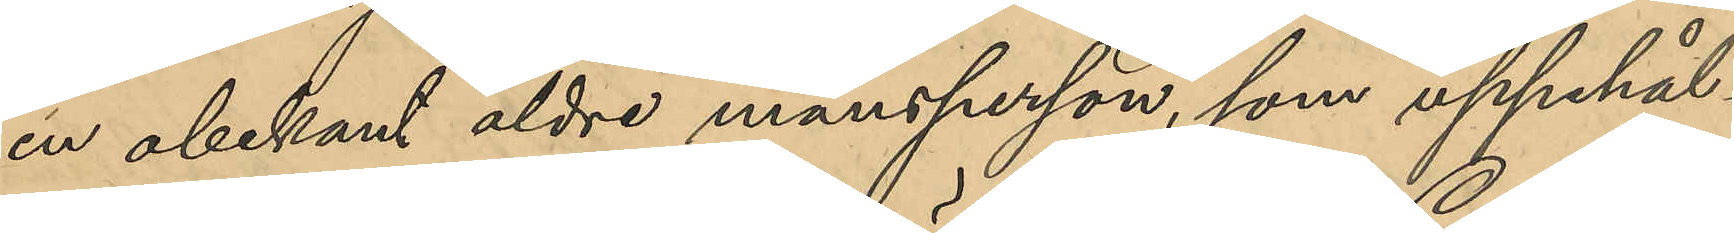en obekant äldre mansperson, som uppehål¬
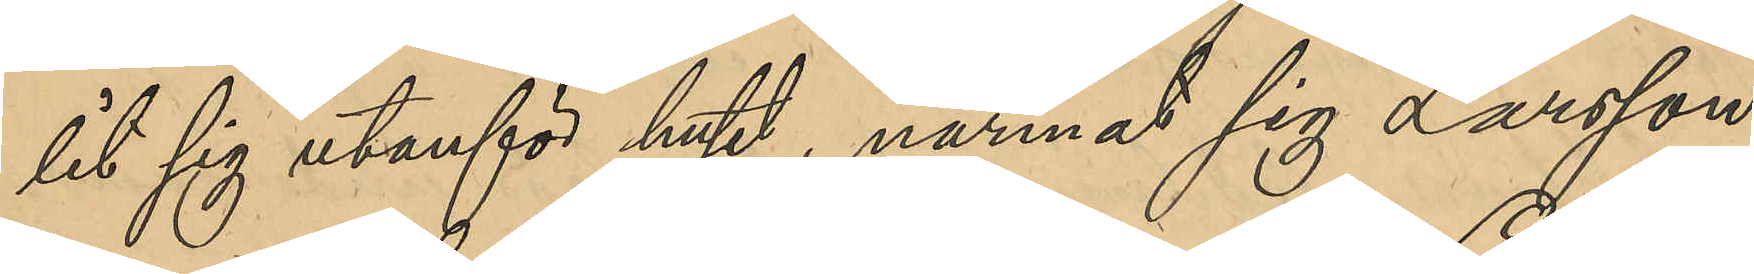lit sig utanför huset, närmat sig Larsson
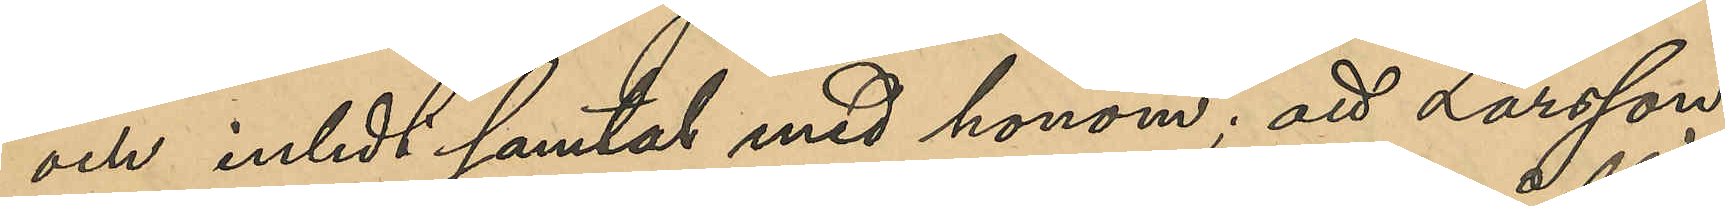och inledt samtal med honom; att Larsson
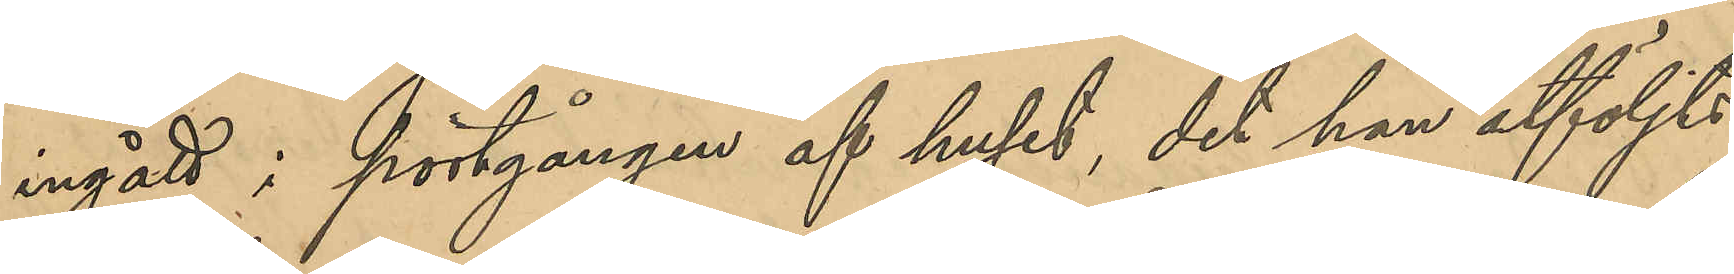ingått i portgången af huset, det han åtföljts
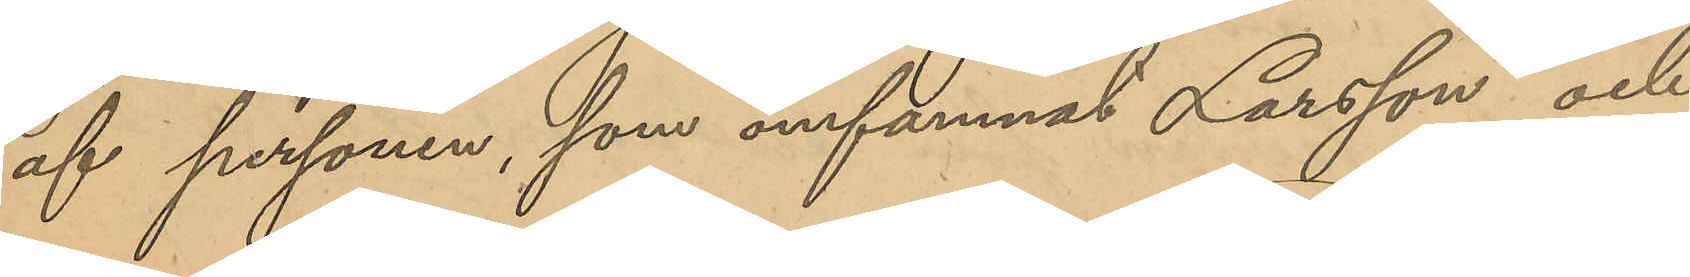af personen, som omfamnat Larsson och
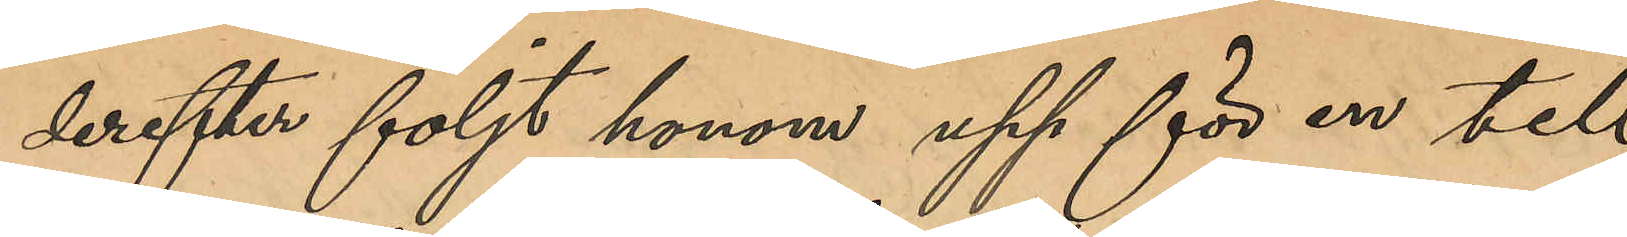derefter följt honom upp för en till
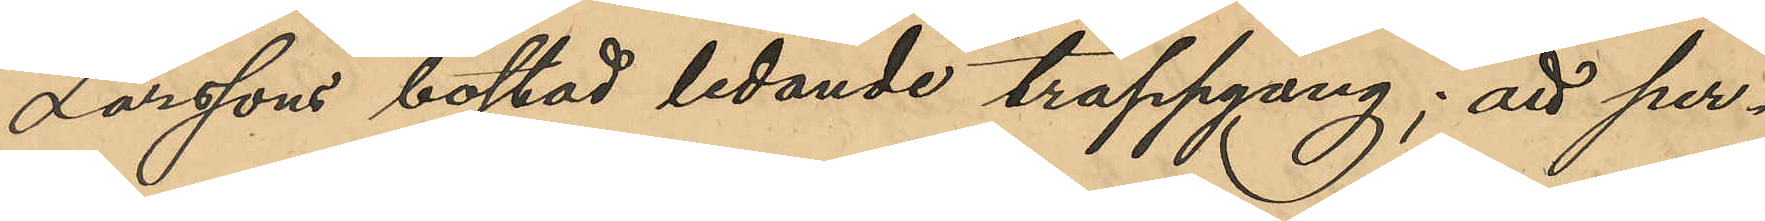Larssons bostad ledande trappuppgång; att per¬
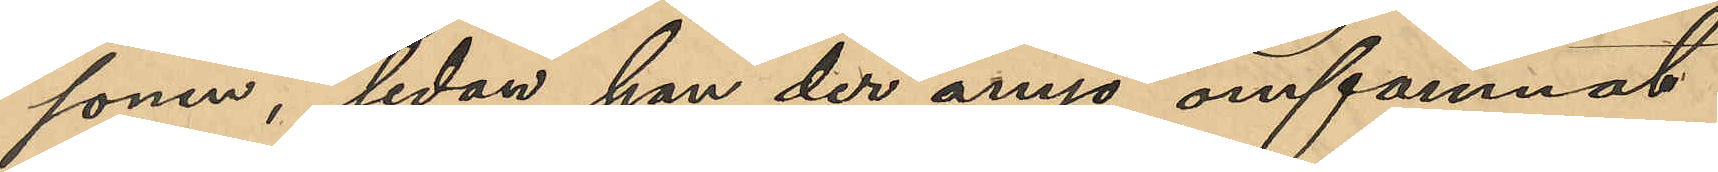sonen, sedan han der ånyo omfamnat
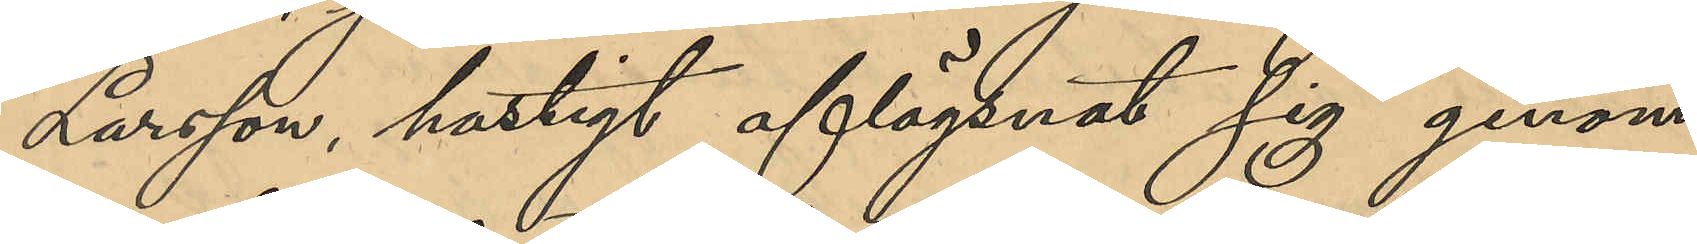Larsson, hastigt aflägsnat sig genom
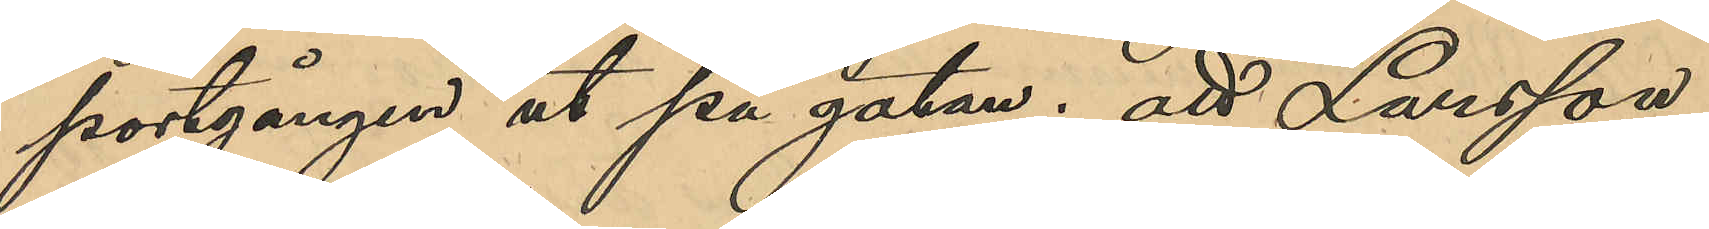portgången ut på gatan; att Larsson
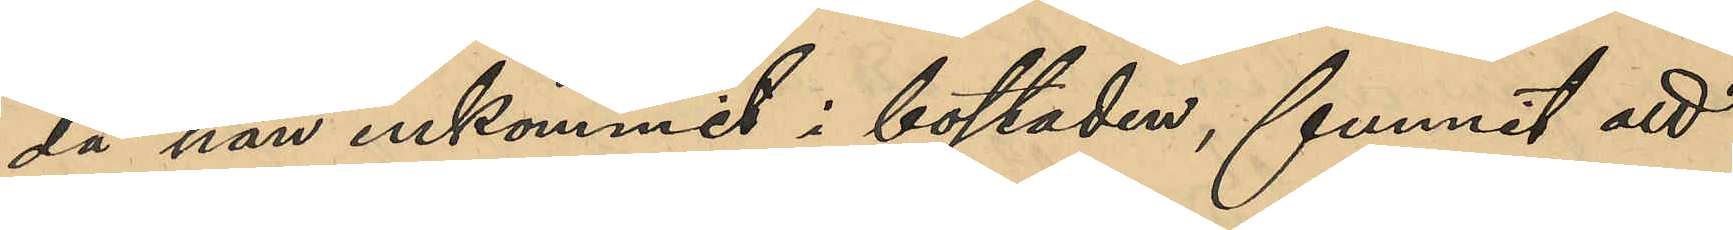då han inkommit i bostaden, funnit att
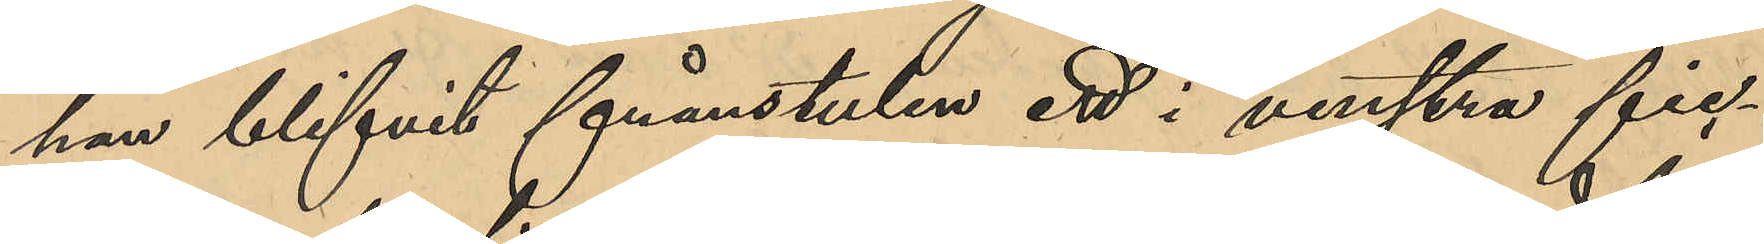han blifvit frånstulen ett i venstra fic¬
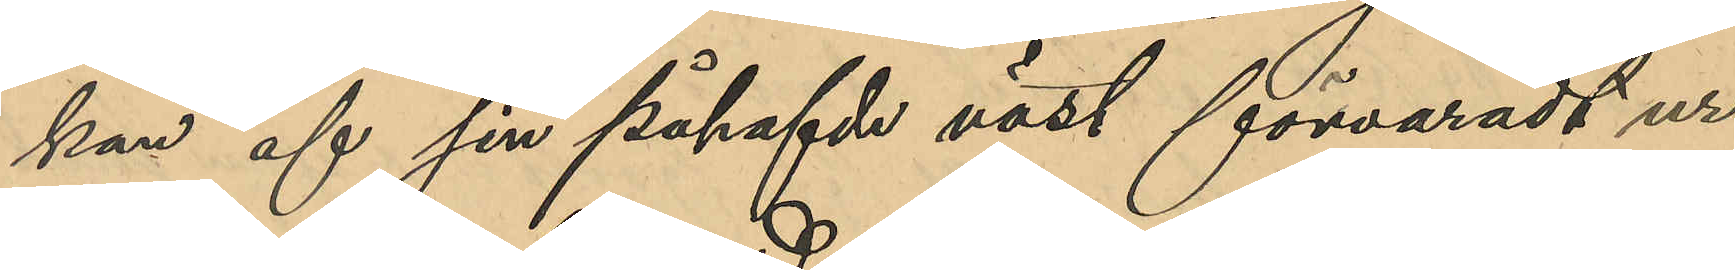kan af sin påhafvde väst förvaradt ur
